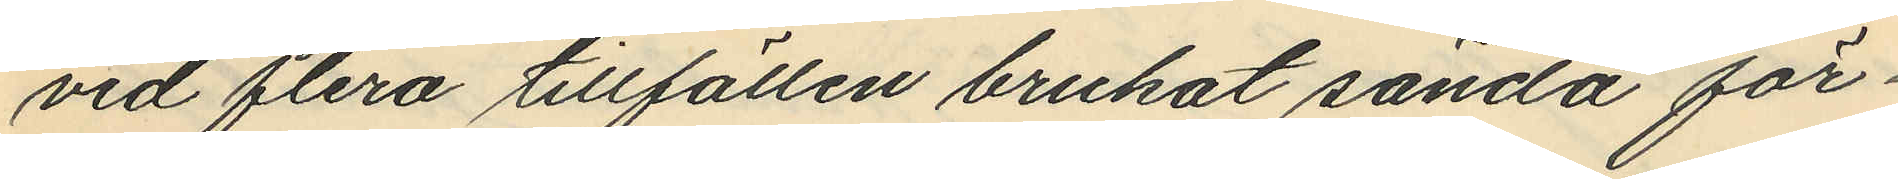vid flera tillfällen brukat sända för¬
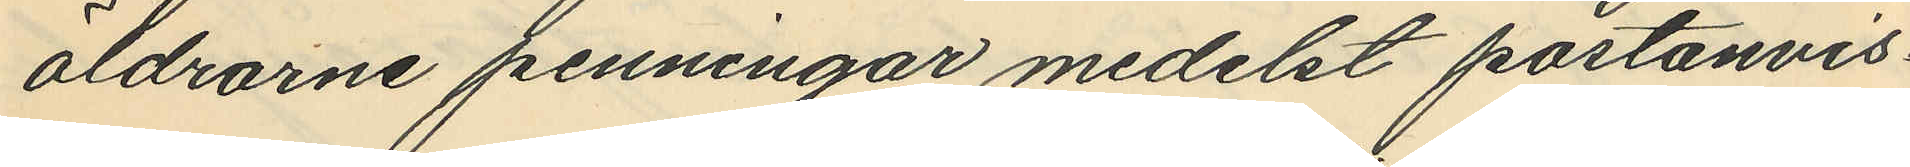äldrarne penningar medelst postanvis¬
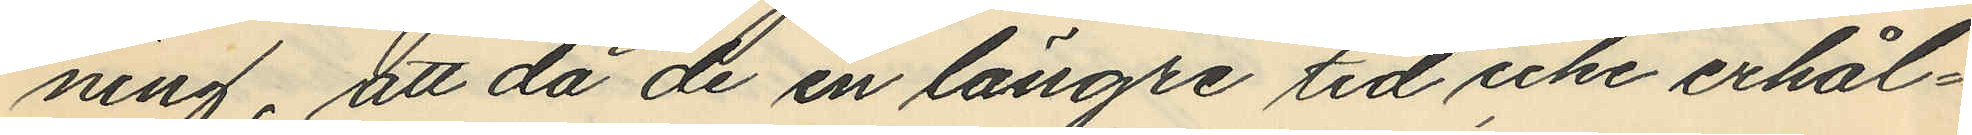ning, att då de en längre tid icke erhål¬
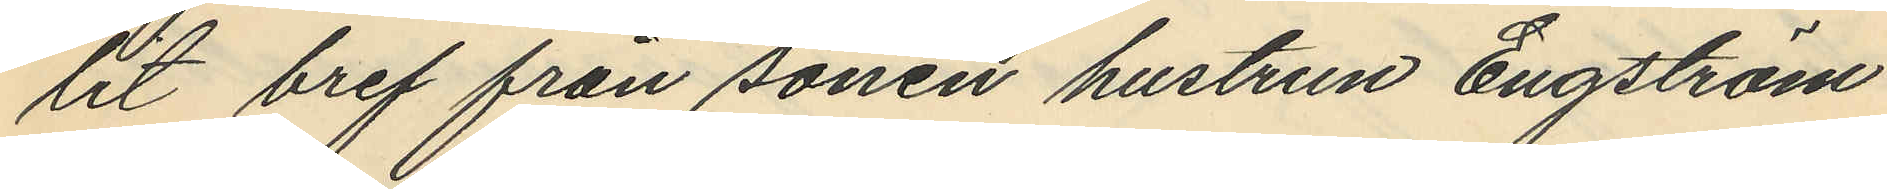lit bref från sonen hustrun Engström
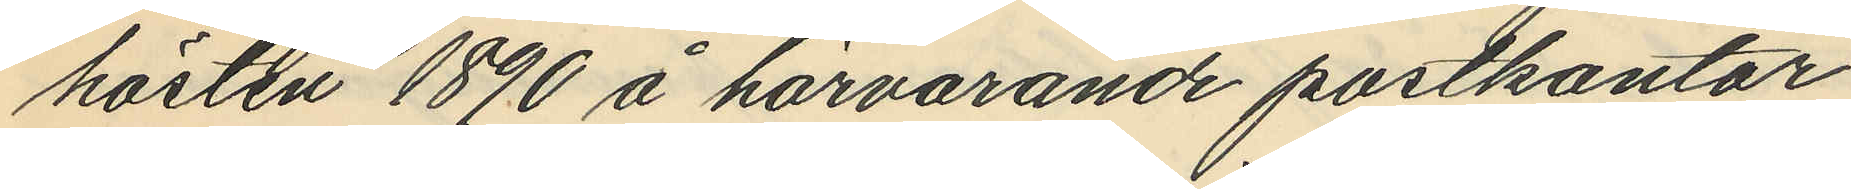hösten 1890 å härvarande postkontor
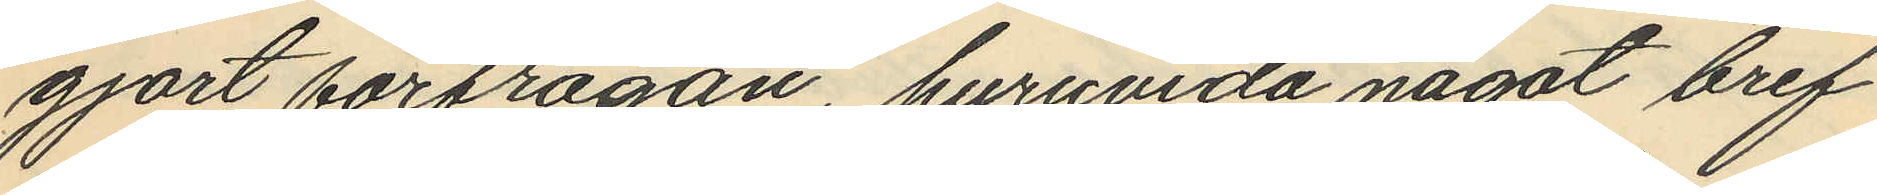gjort förfrågan, huruvida något bref
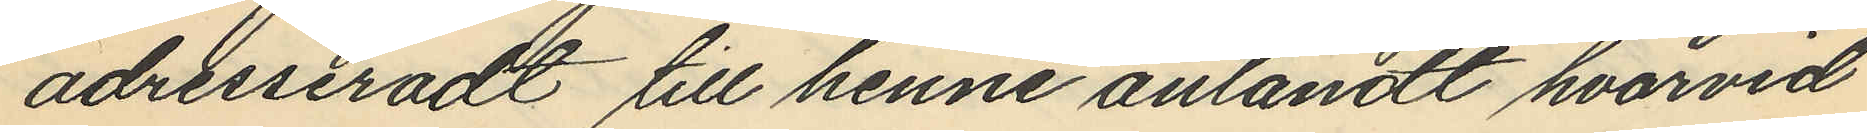adresseradt till henne anländt hvarvid
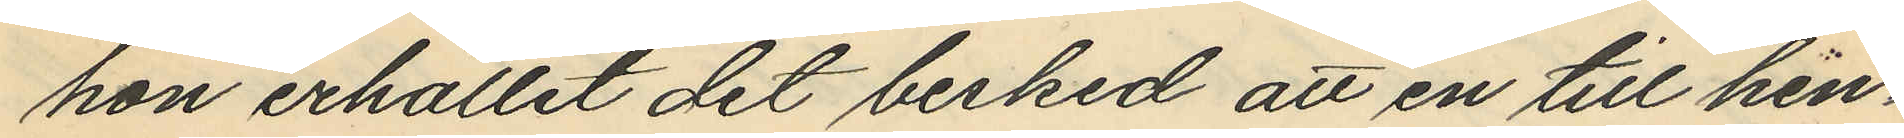hon erhållit det besked att en till hen¬
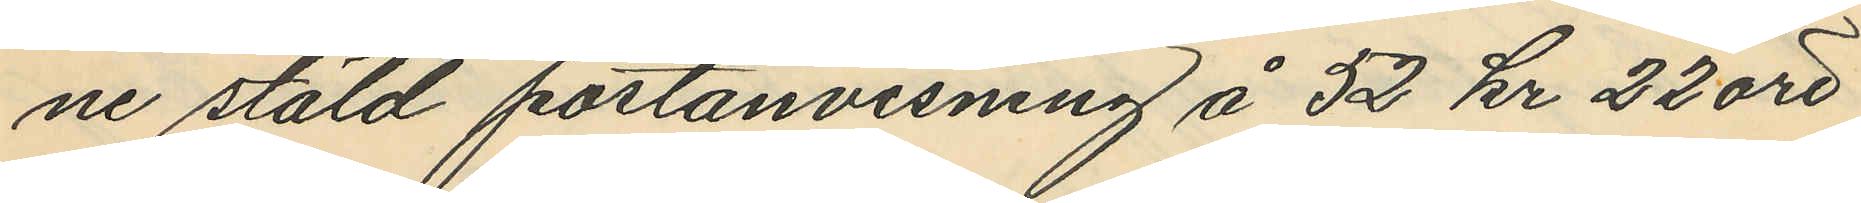ne stäld postanvisning å 52 kr 22 öre
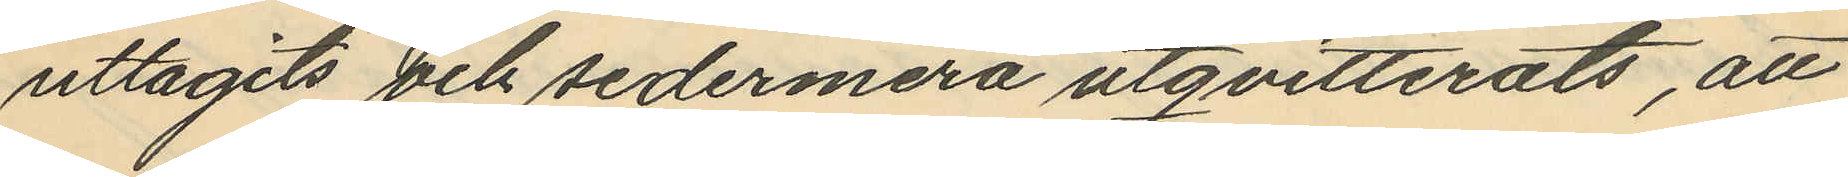uttagits och sedermera utqvitterats, att
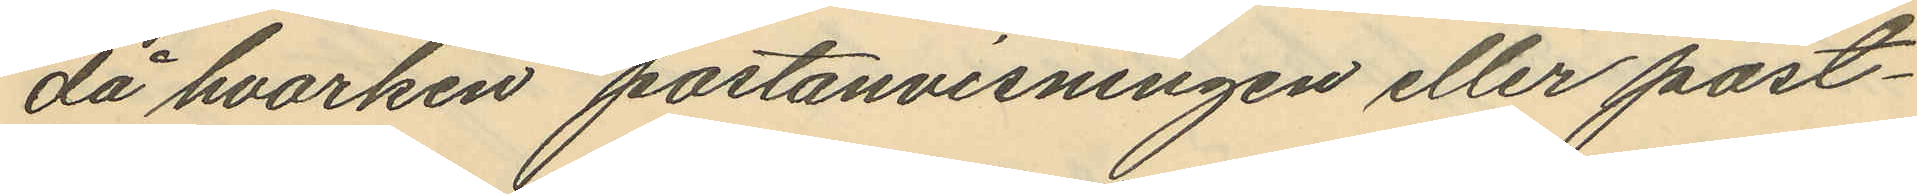då hvarken postanvisningen eller post¬
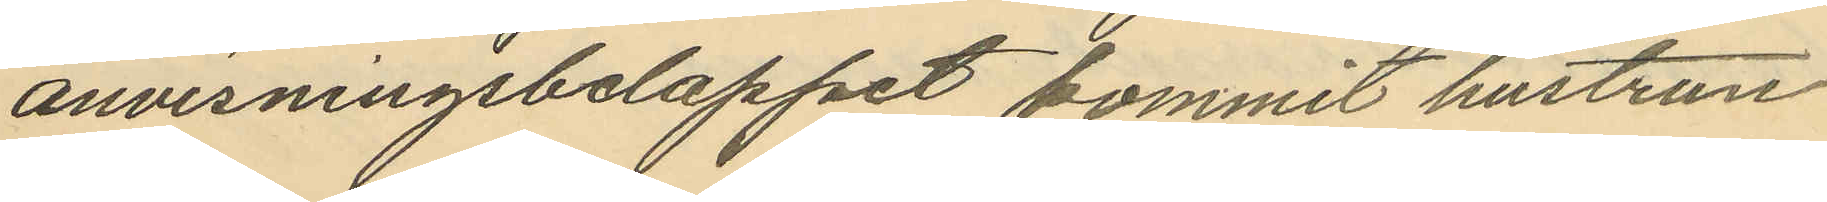anvisningsbeloppet kommit hustrun
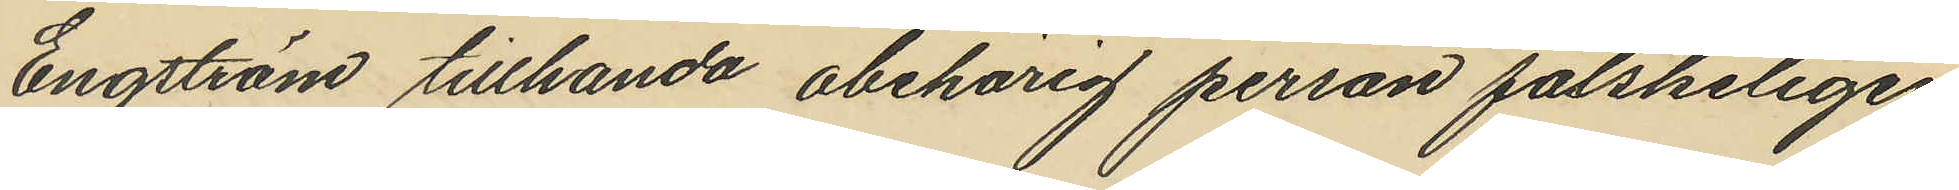Engström tillhanda obehörig person falskeligen
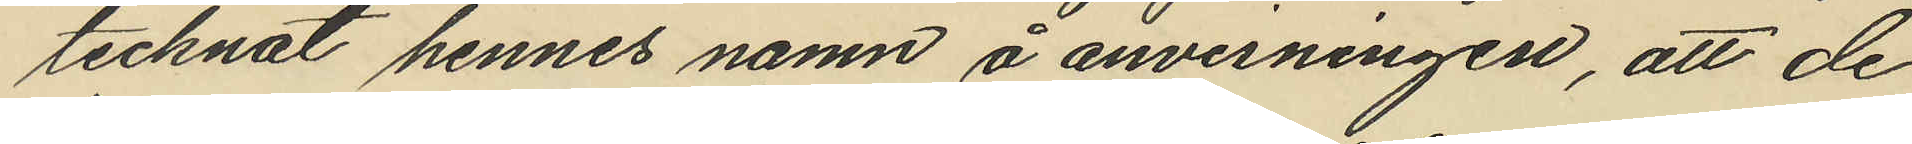tecknat hennes namn å anvisningen, att de
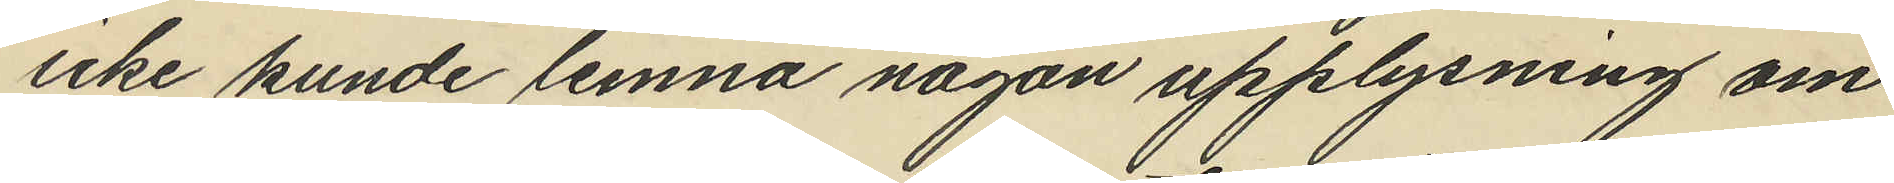icke kunde lemna någon upplysning om
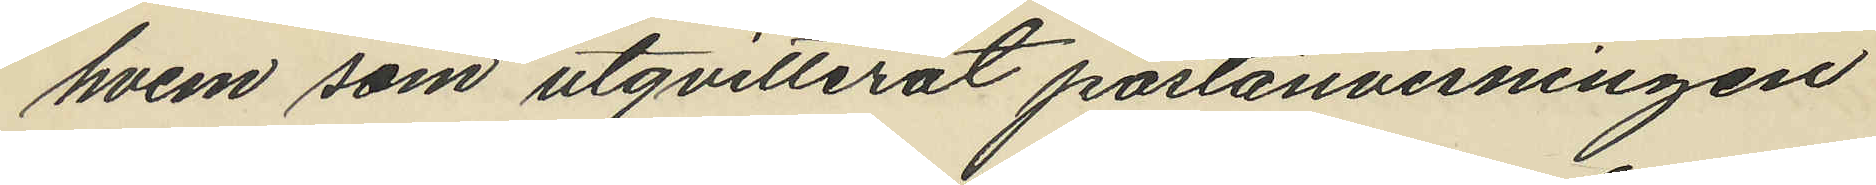hvem som utqvitterat postanvisningen
